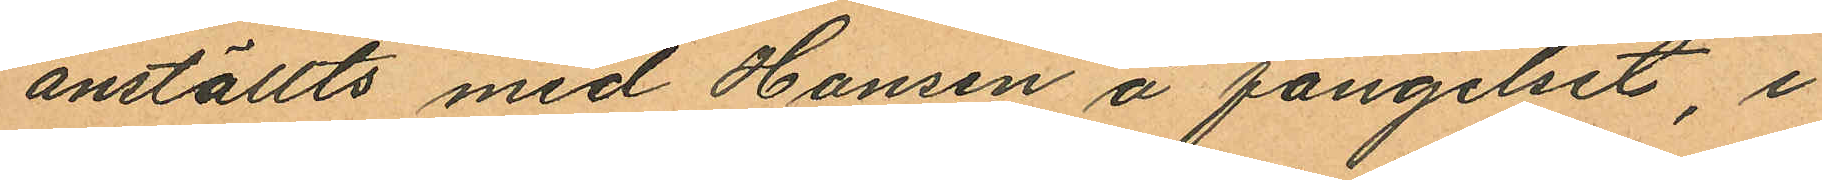anställts med Hansen å fängelset, i
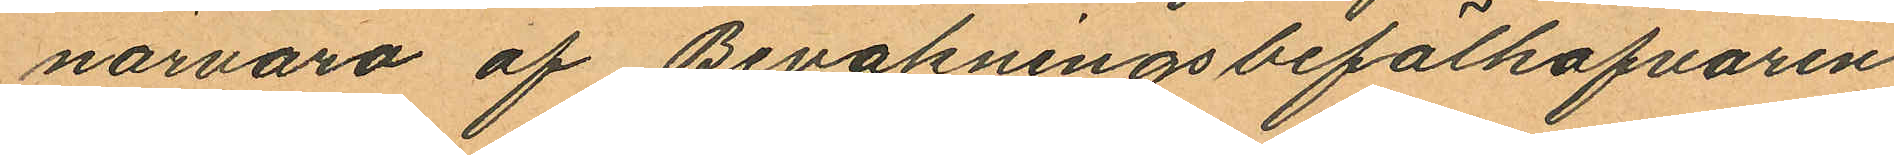närvaro af Bevakningsbefälhafvaren
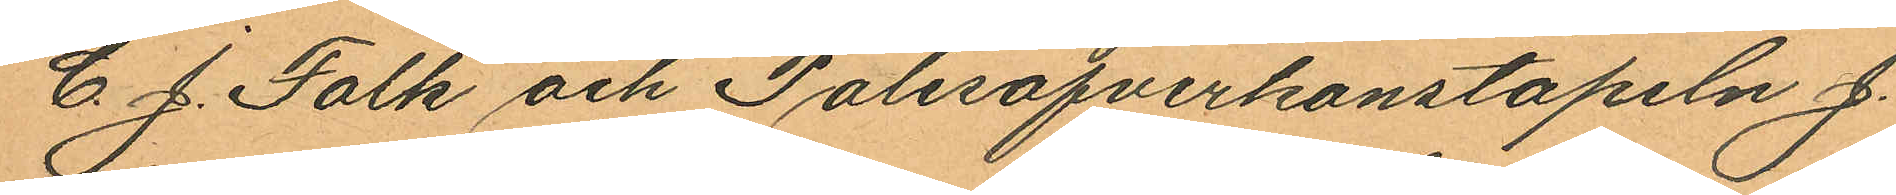C. J. Falk och Polisöfverkonstapeln J.
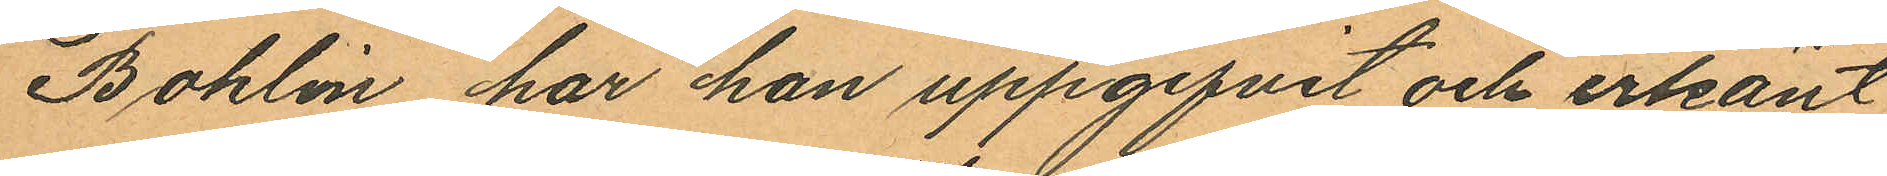Bohlin har han uppgifvit och erkänt
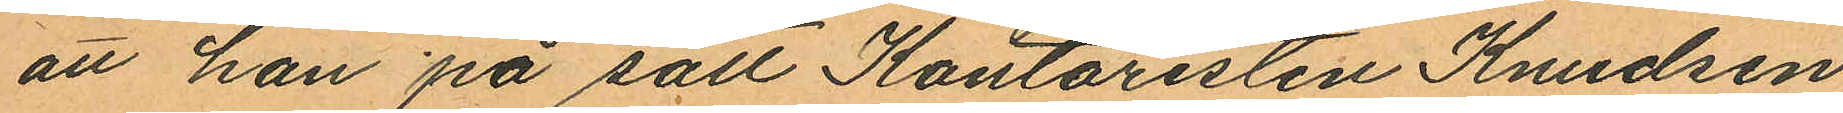att han på sätt Kontoristen Knudsen
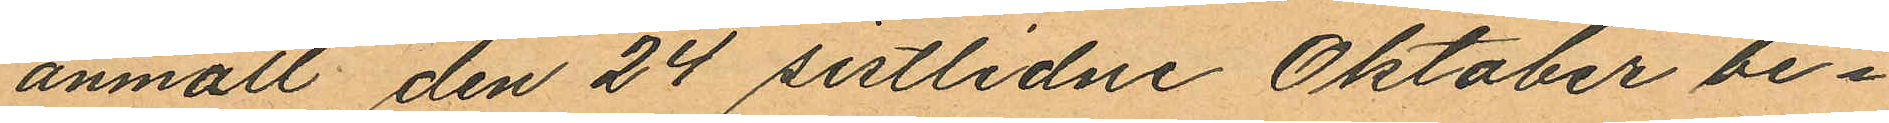anmält den 24 sistlidne Oktober be¬
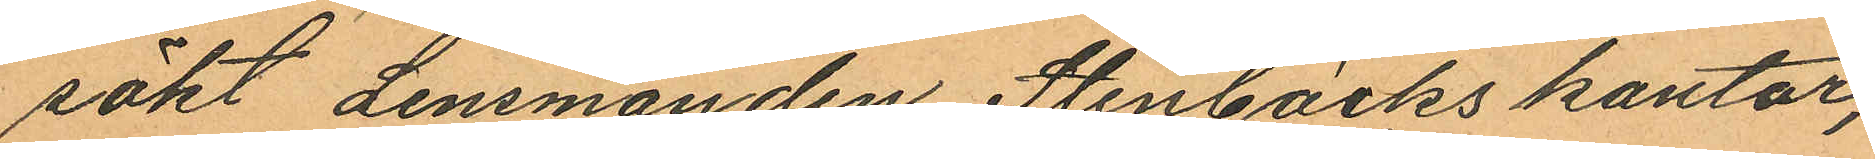sökt Lensmanden Stenbäcks kontor,
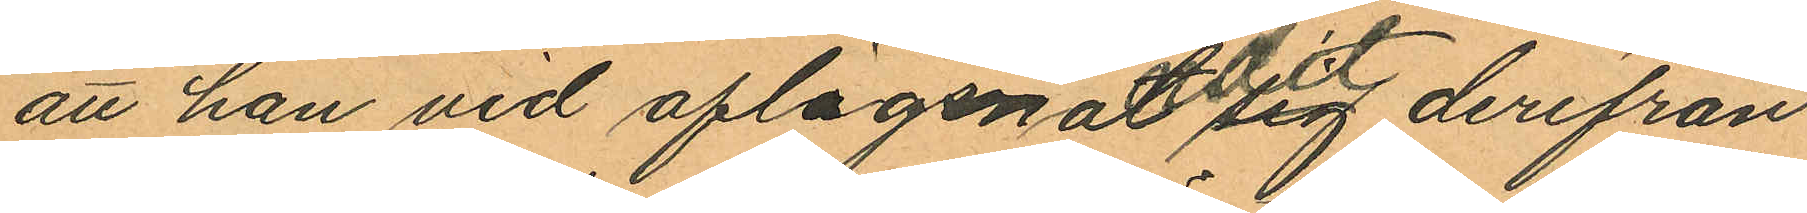att han vid aflägsnandet sig derifrån
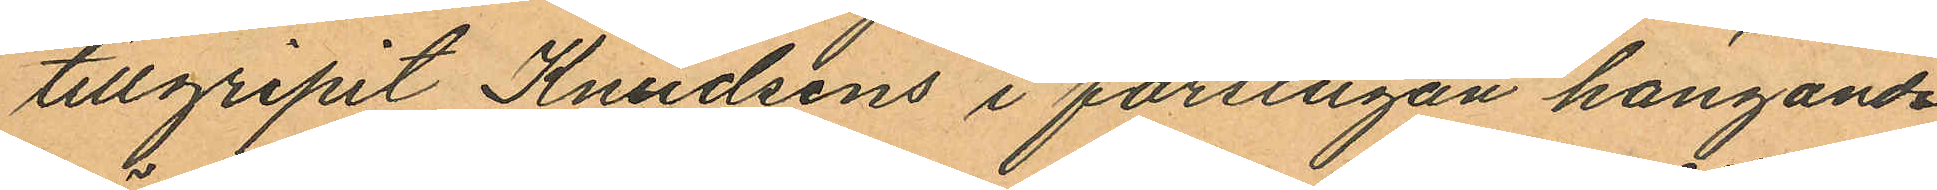tillgripit Knudsens i förstugan hängande
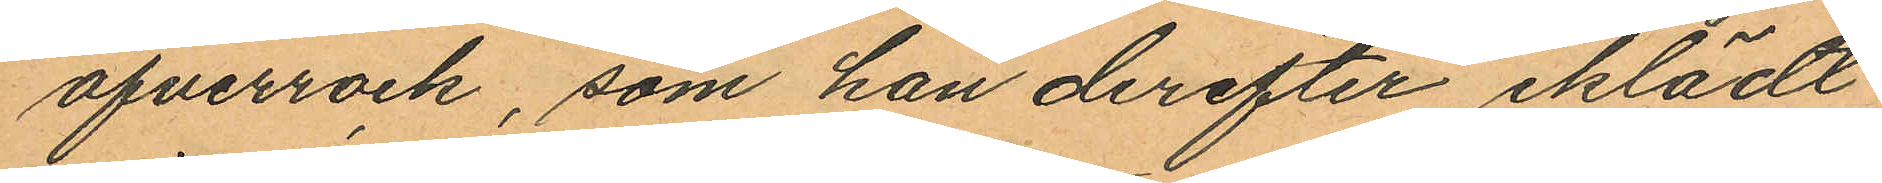öfverrock, som han derefter iklädt
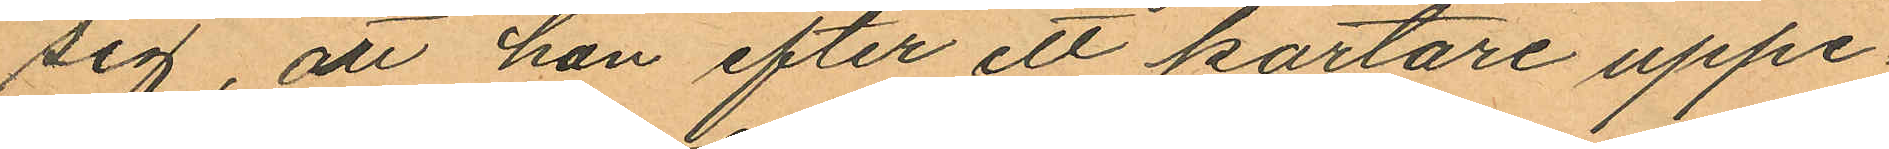sig, att han efter ett kortare uppe¬
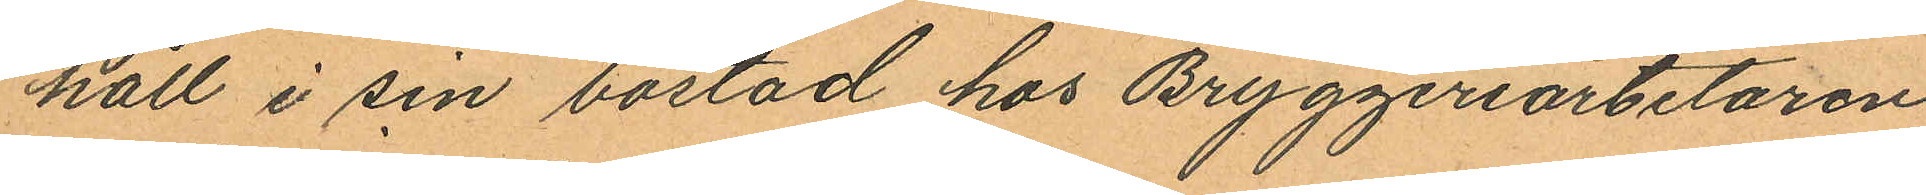håll i sin bostad hos Bryggeriarbetaren
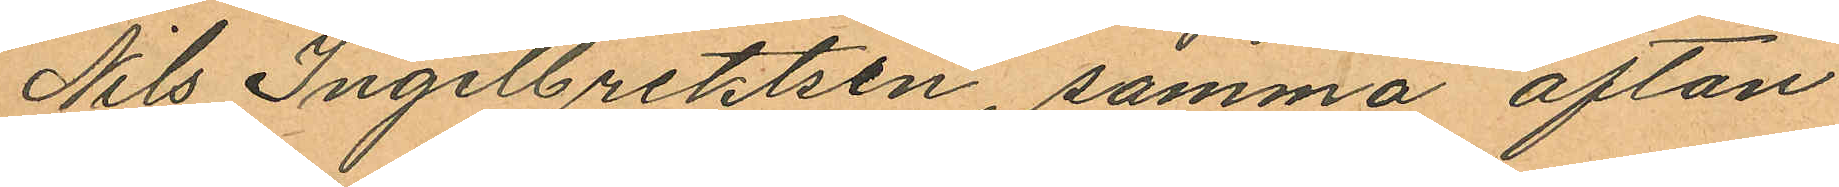Nils Ingelbrektsen, samma afton
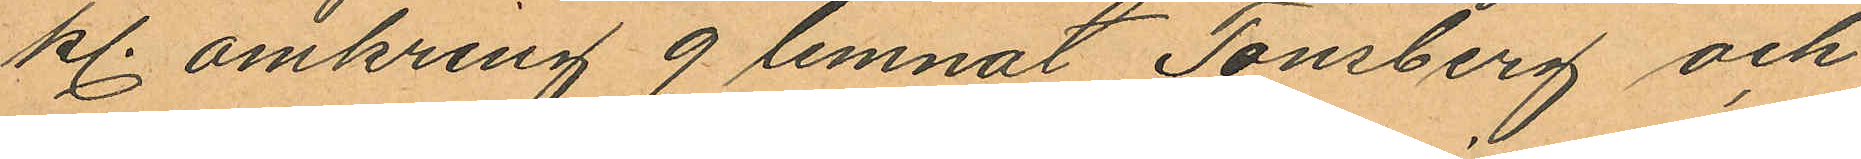kl. omkring 9 lemnat Tönsberg och
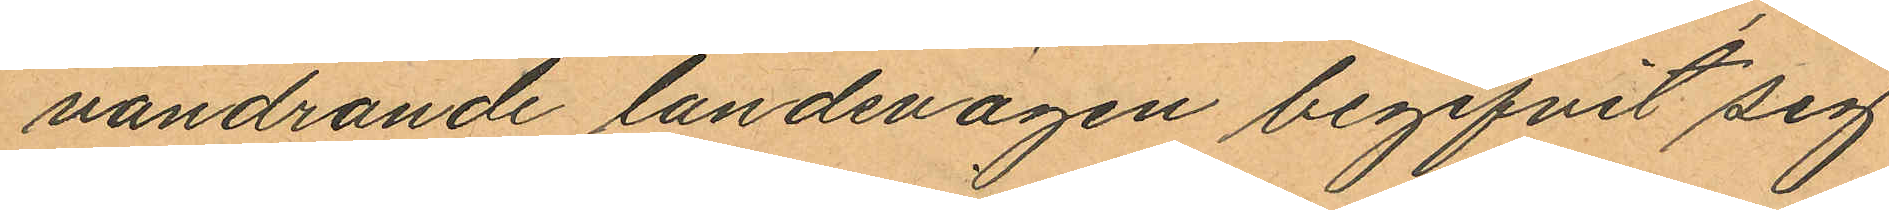vandrande landsvägen begifvit sig
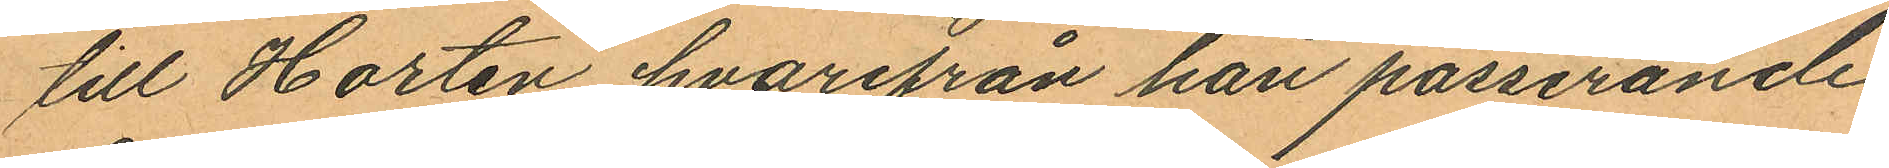till Horten hvarifrån han passerande
